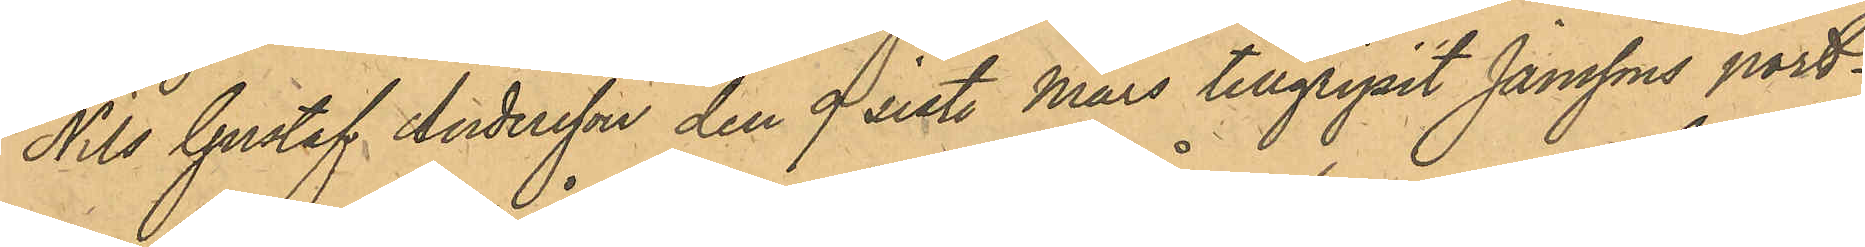Nils Gustaf Andersson den 9 sistl. Mars tillgripit Janssons port¬
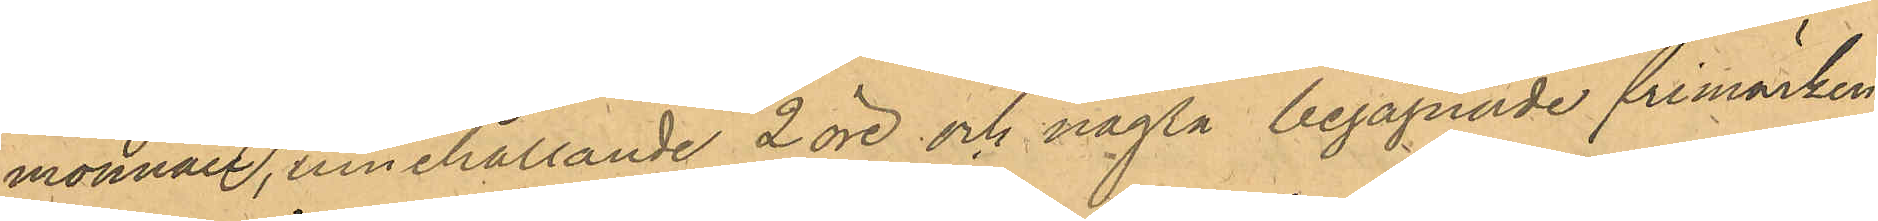monnaie, innehållande 2 öre och några begagnade frimärken
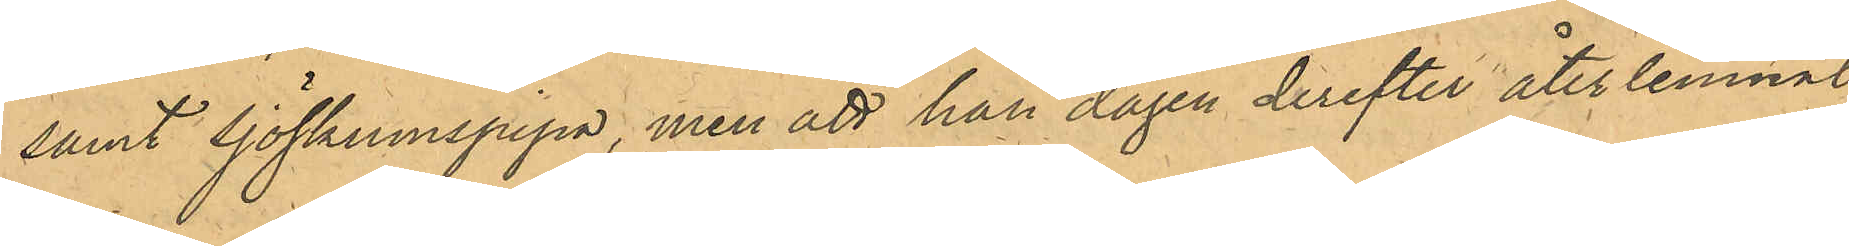samt sjöskumspipa, men att han dagen derefter återlemnat
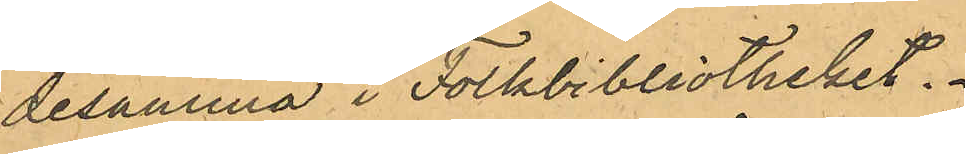desamma i Folkbibliotheket.
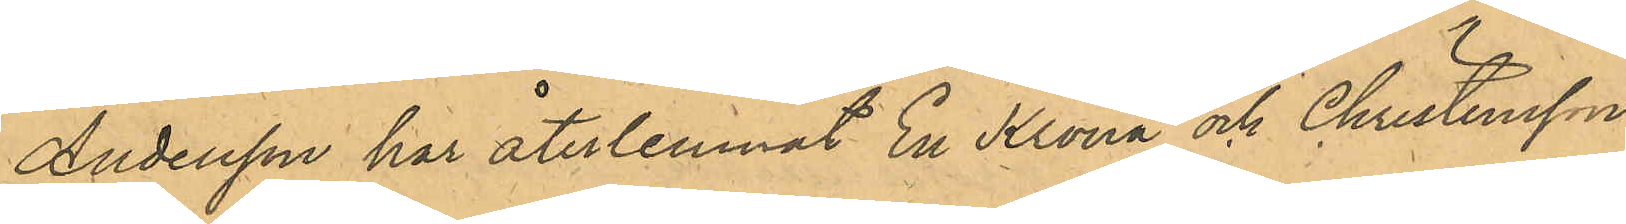Andersson har återlemnat En Krona och Christensson
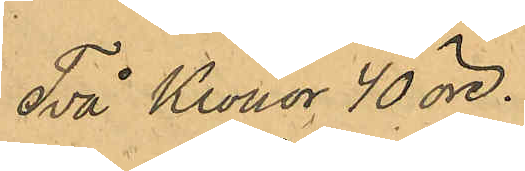Två Kronor 40 öre.
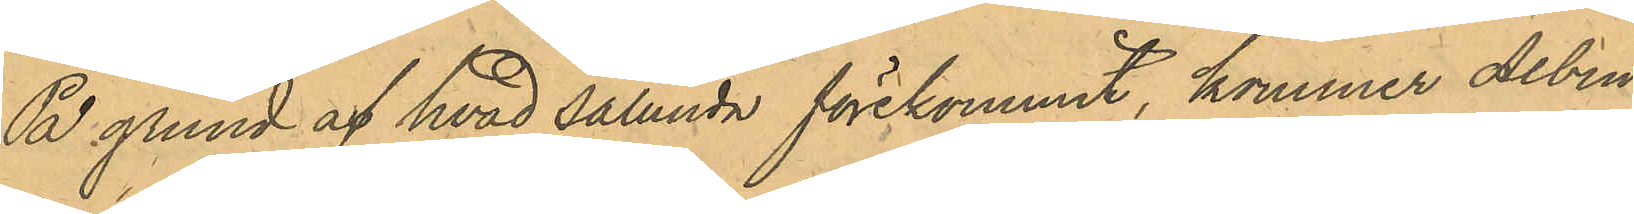På grund af hvad sålunda förekommit, kommer Albin
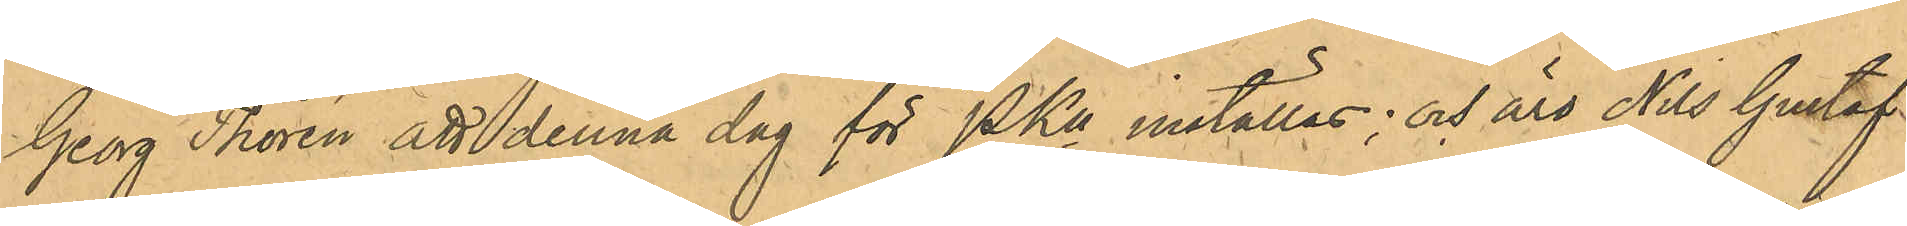Georg Thorén att denna dag för PKn inställas; och äro Nils Gustaf
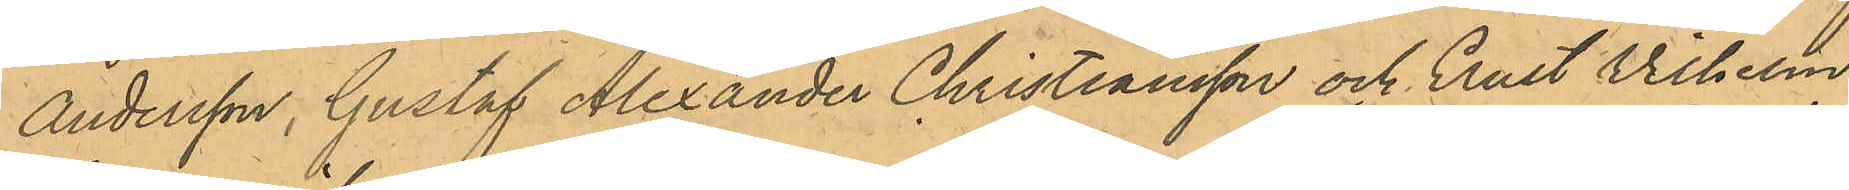Andersson, Gustaf Alexander Christiansson och Ernst Vilhelm
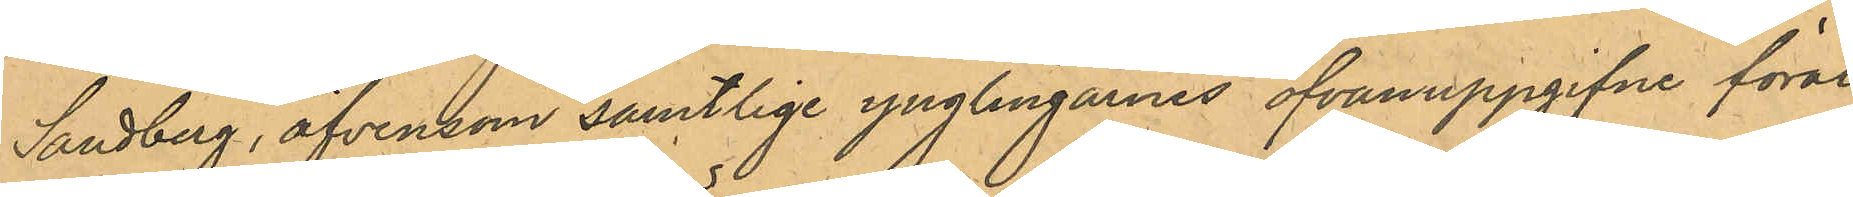Sandberg, äfvensom samtlige ynglingarnes ofvanuppgifne föräl¬
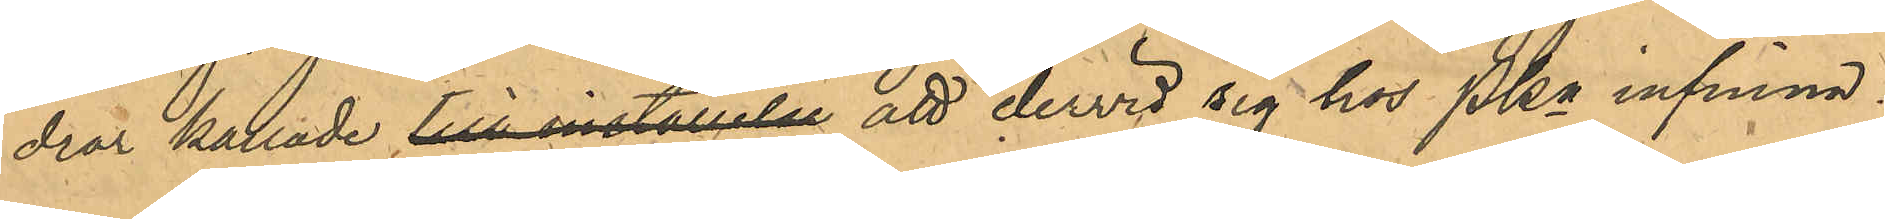drar kallade till inställelse att dervid sig hos PKn infinna.
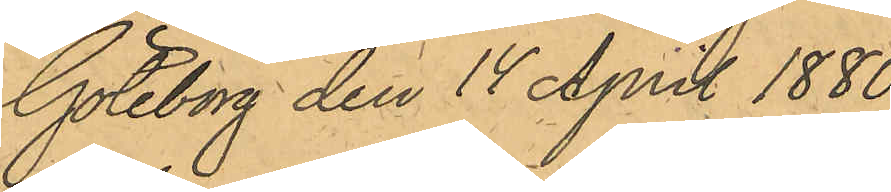Göteborg den 14 April 1880.
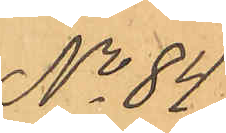No 84.
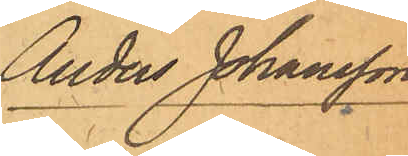Anders Johansson
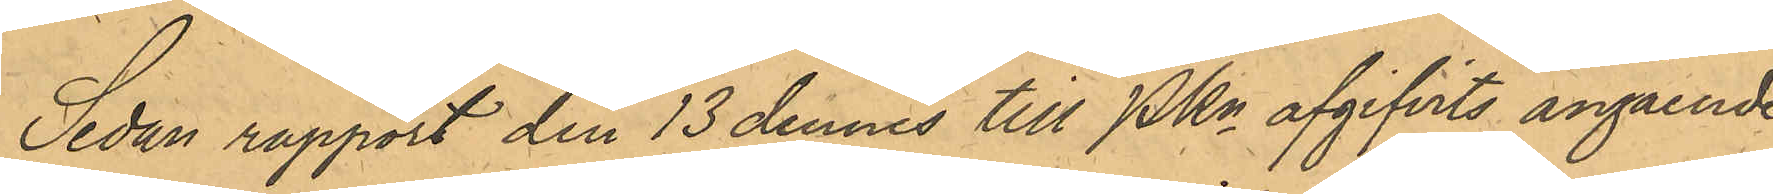Sedan rapport den 13 dennes till Pkn afgifvits angående
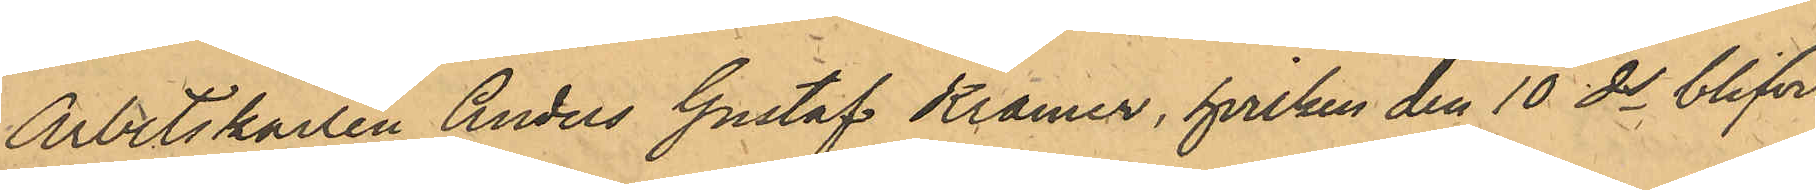Arbetskarlen Anders Gustaf Kramer, hvilken den 10 ds blifvit
